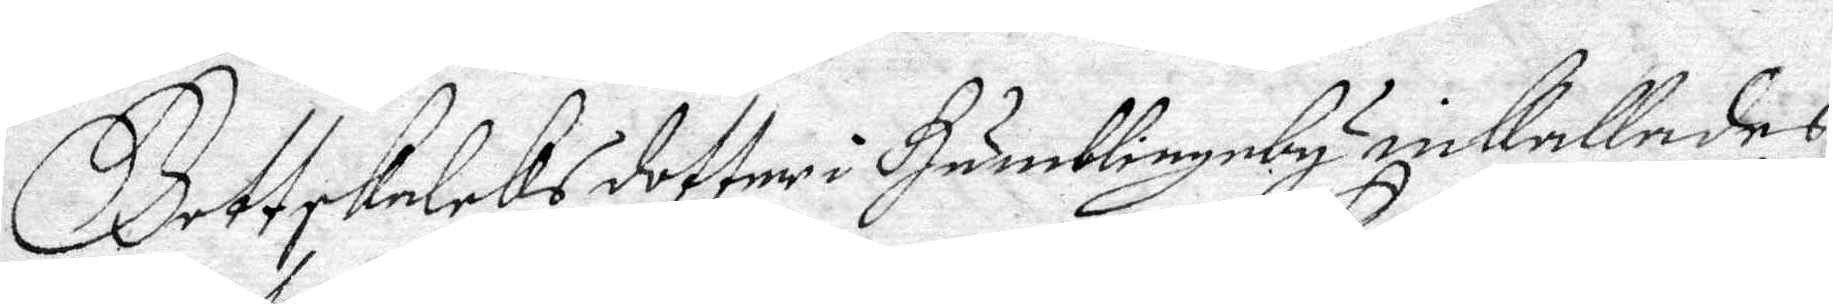Gottskalcks dotter i Humblingeby inkallades
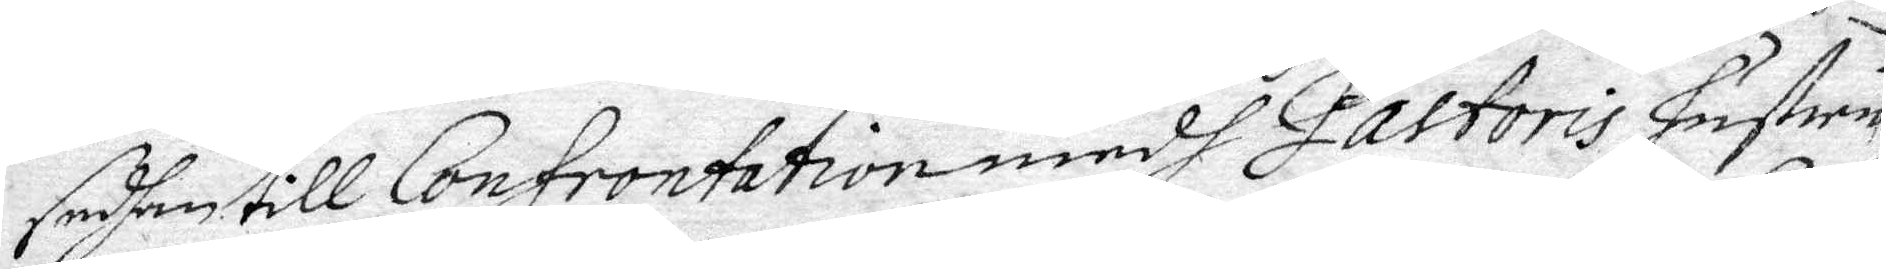sedhan till Confrontation medh Pastoris Hustru
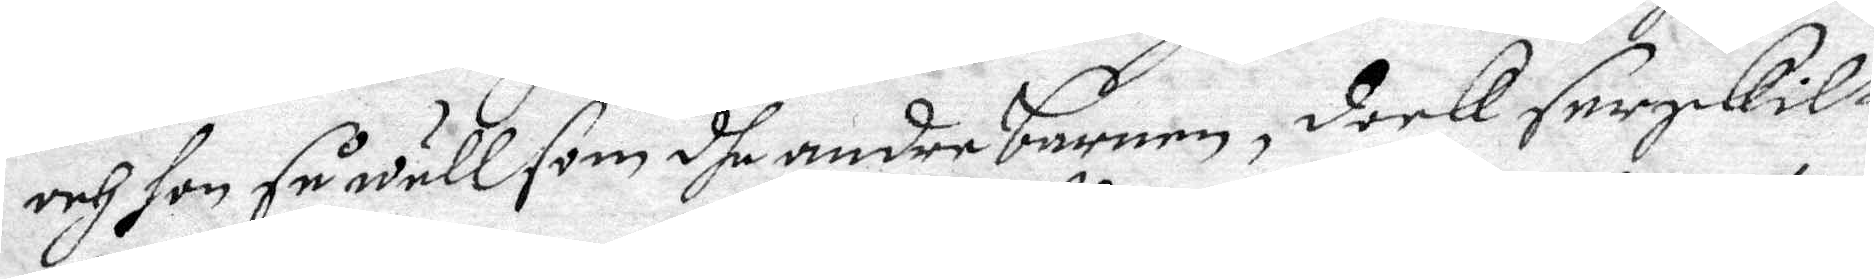och hon så wäll som dhe andre barnen, dook Serskilt
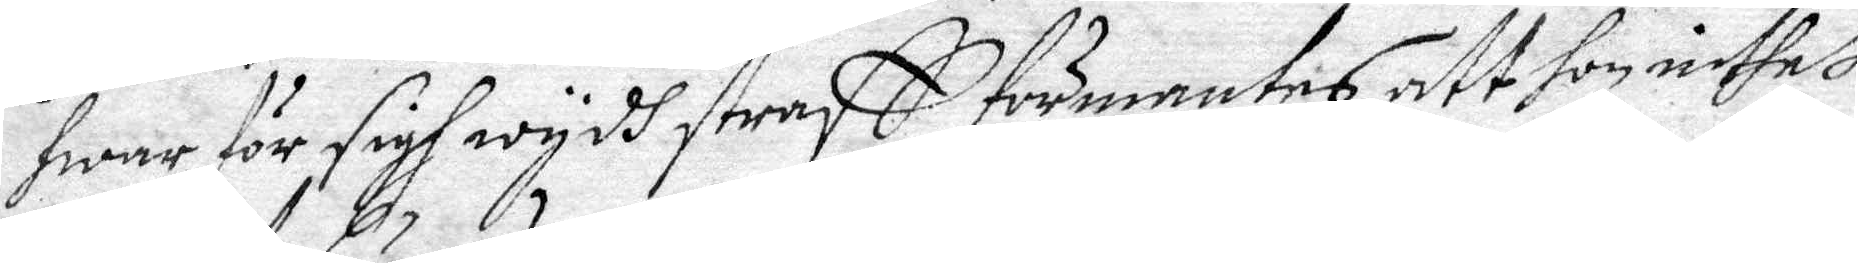hwar för sigh wydh straff förmentes, att hon inthet
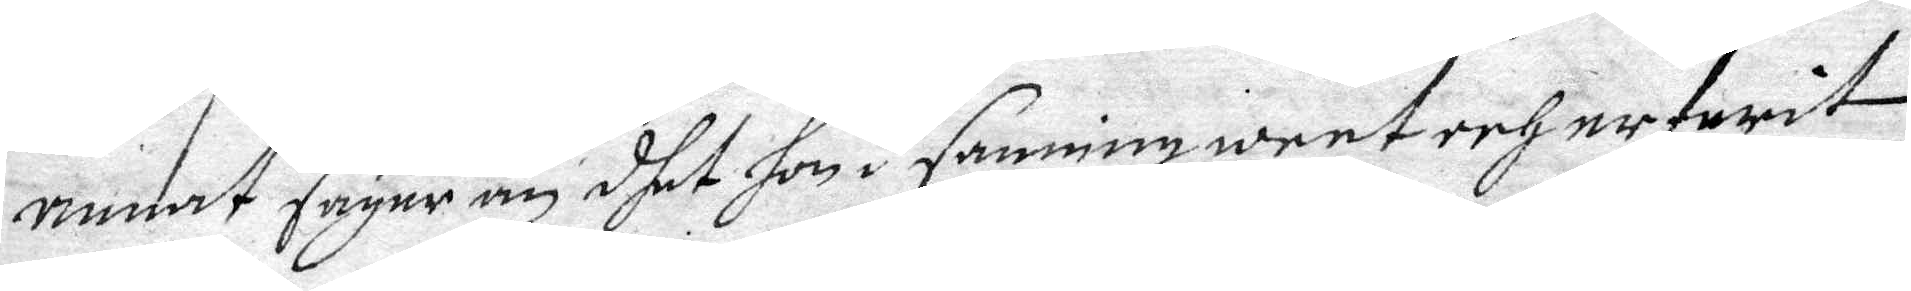annat säyer än, dhet hon i sanning weet erfarit
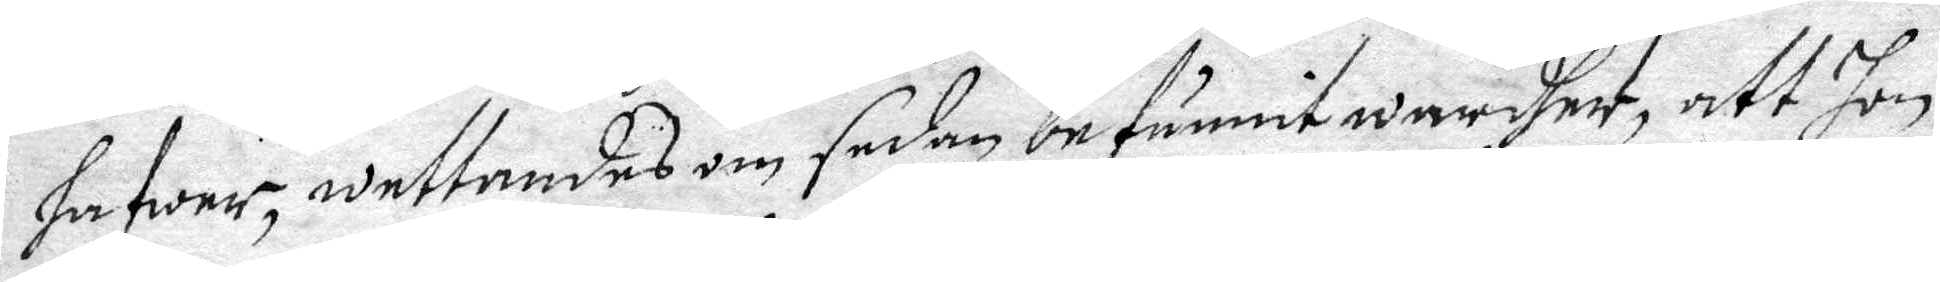hafwer, wettandes om sedan befunnit wardher, att hon
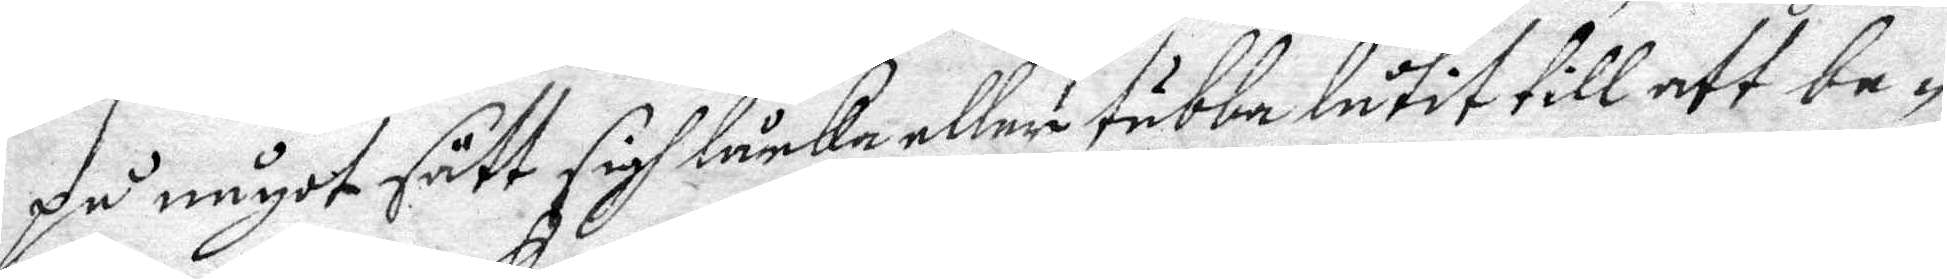på något sätt sigh låcka eller tubba låtit till att be¬
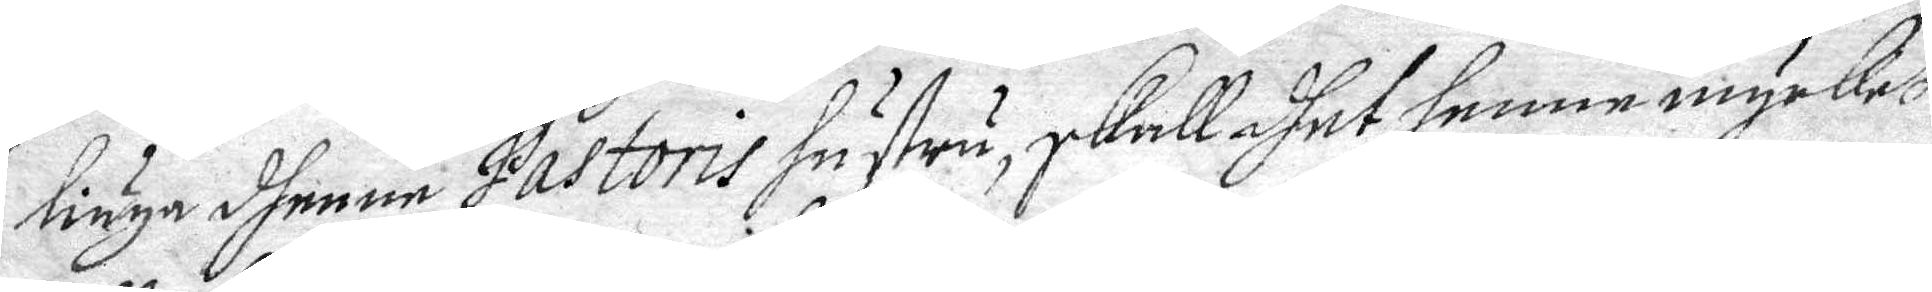liuga dhenne Pastoris hustru, skall dhet henne mycket
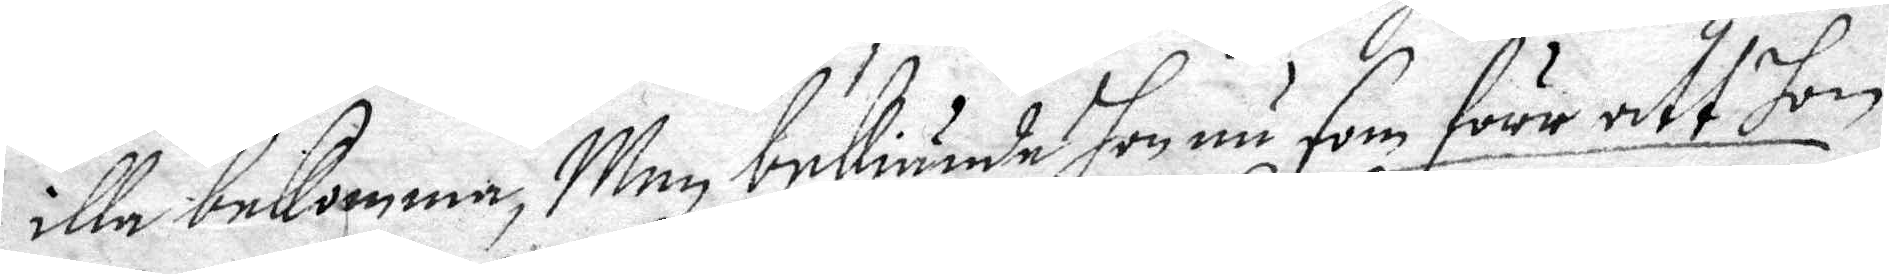illa bekomma, Men bekiände hon nu som förr att hon
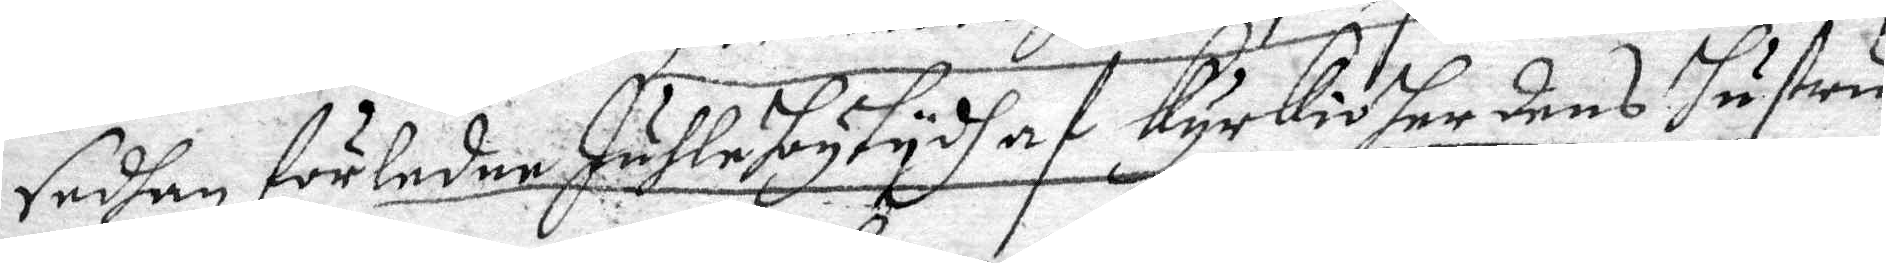sedhan förledne Juhlehogtydh af kyrkioherdens hustru
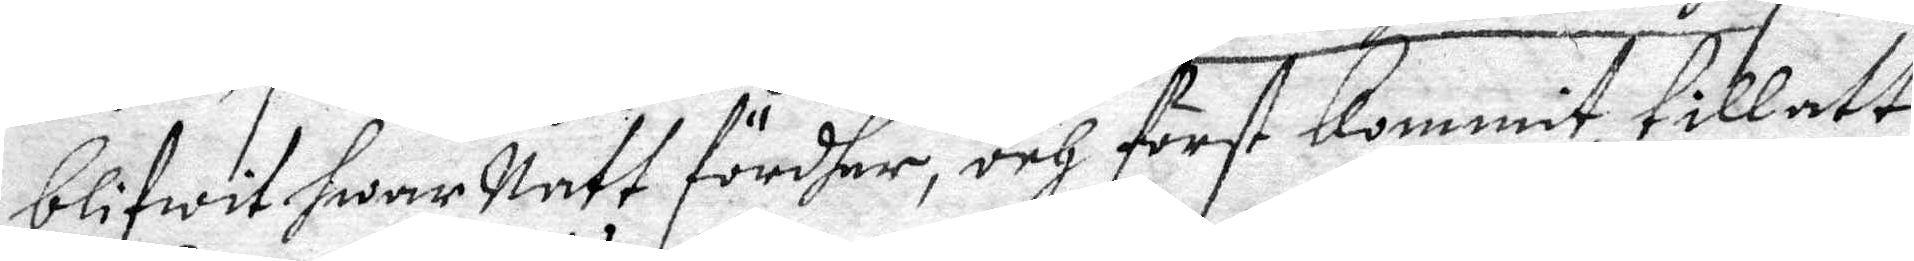blifwet hwar Nett fördher, och först Kommit till att
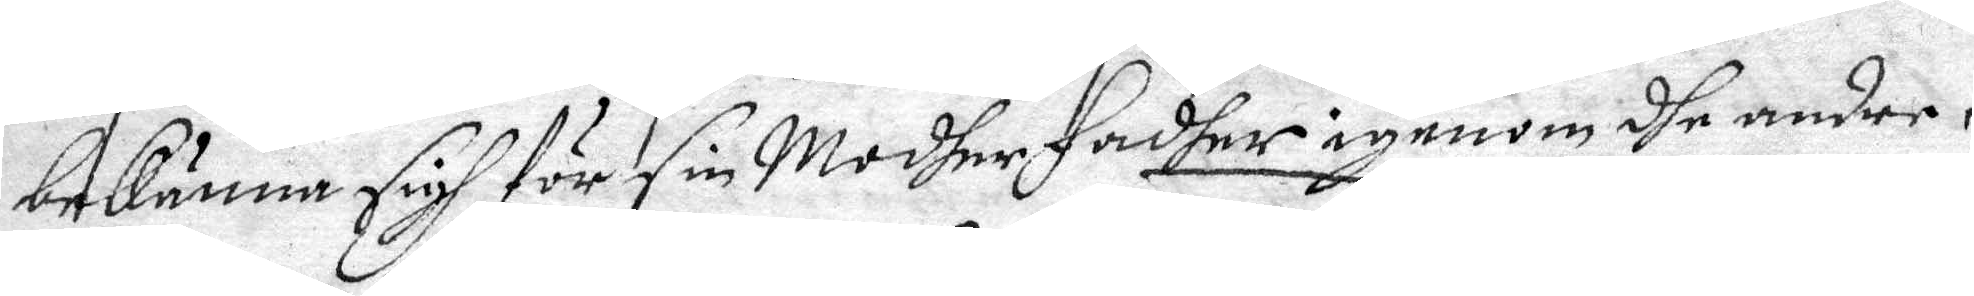bekänna sigh för sin Modher Fadher igenom dhe andre
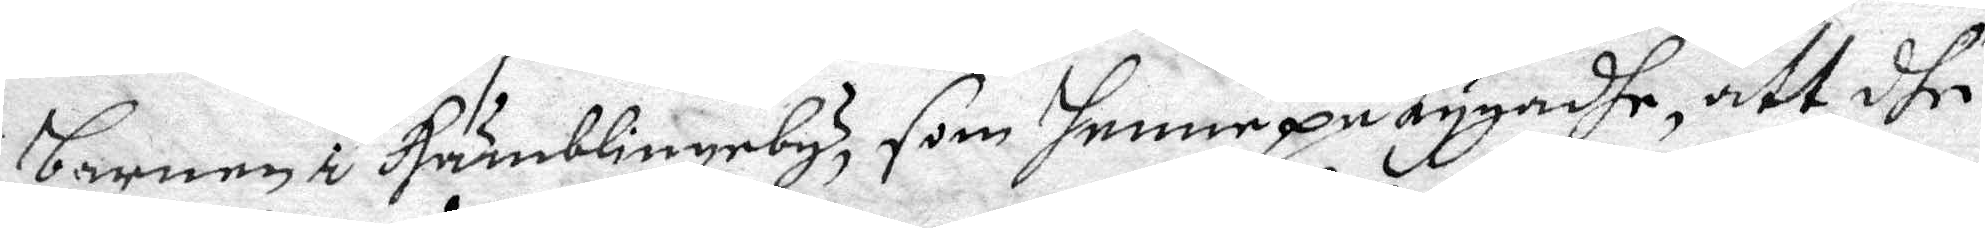barnen i Humblingeby, som henne på tygadhe, att dhe
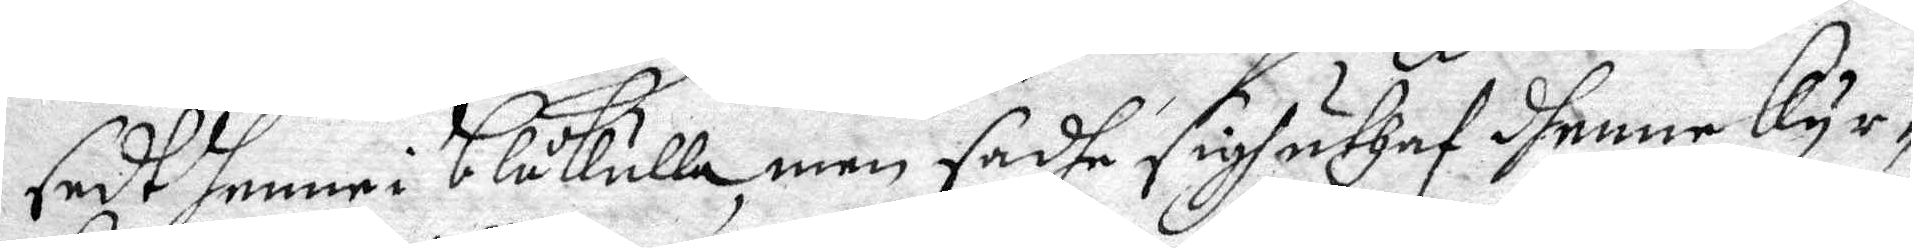sedh henne i Blåkulla, men sadhe sigh uthaf dhenne Kyr¬
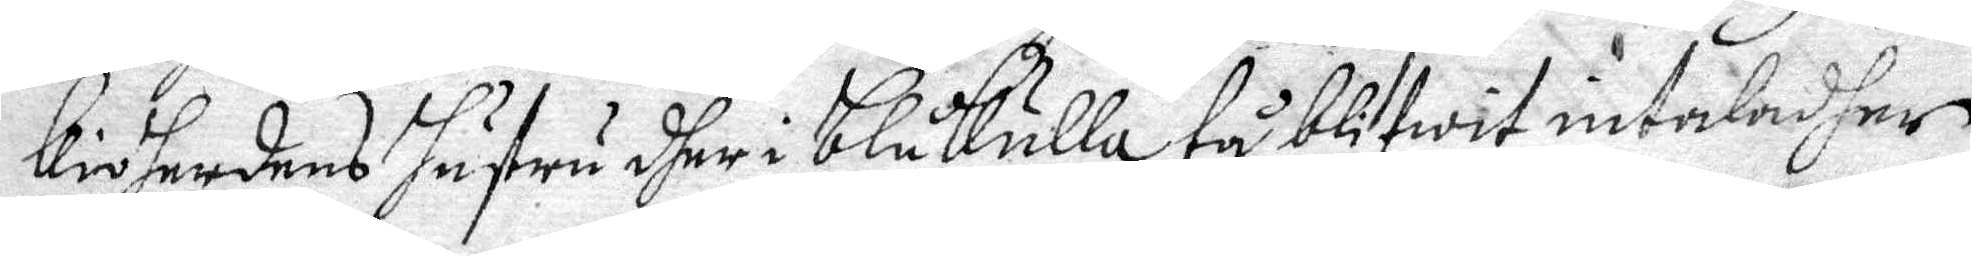kioherdens hustru dher i Blåkulla tå blifwit intaladher,
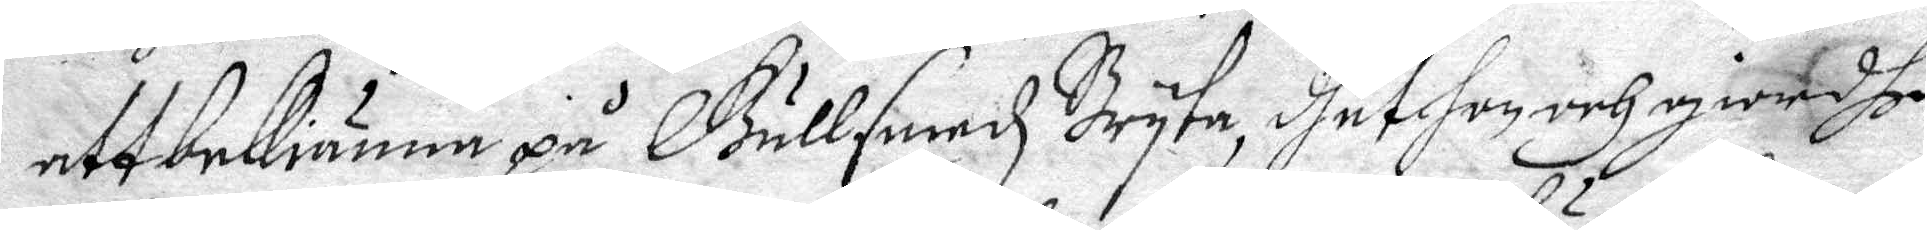att bekiänna på Gullsmedz Bryta, dhet hon och giordhe
